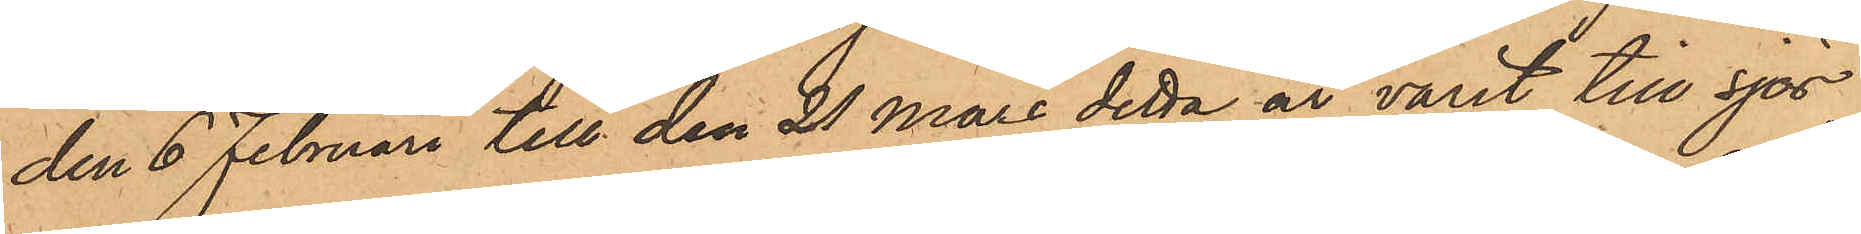den 6 Februari till den 21 Mars detta år varit till sjös,
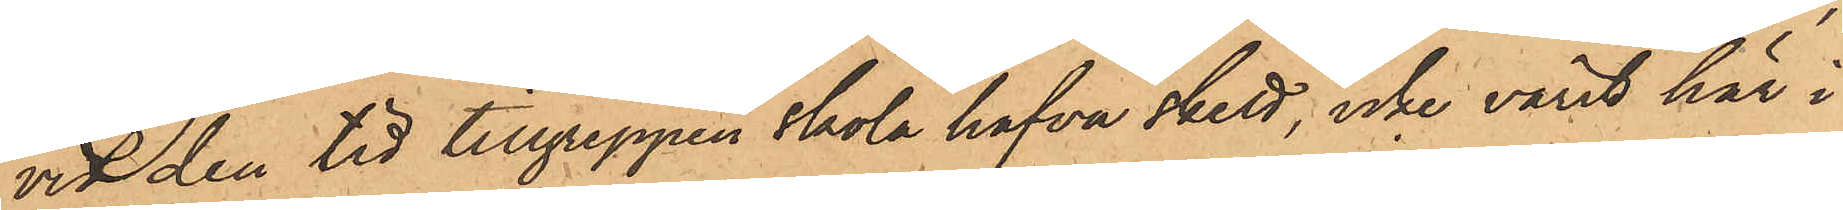vid den tid tillgreppen Skola hafva skett, icke varit här i
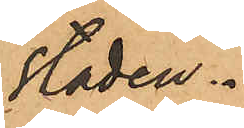staden.
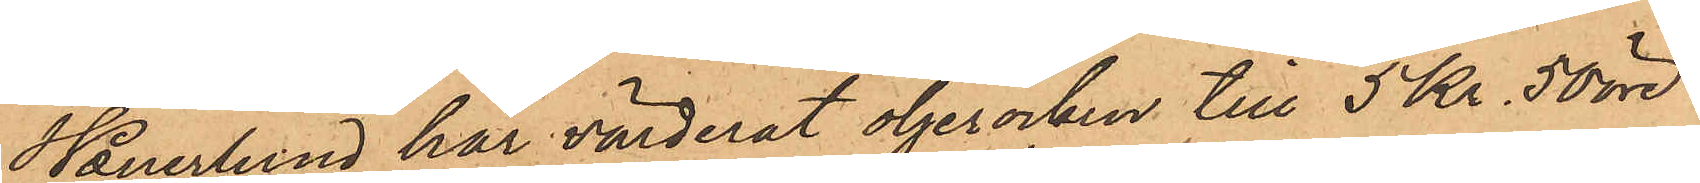Wanerlund har värderat oljerocken till 5 Kr. 50 öre
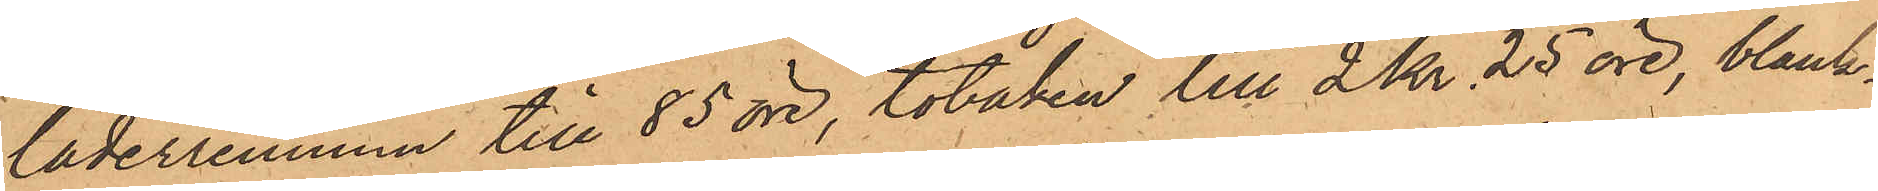läderremmen till 85 öre, tobaken till 2 Kr 25 öre, blank¬
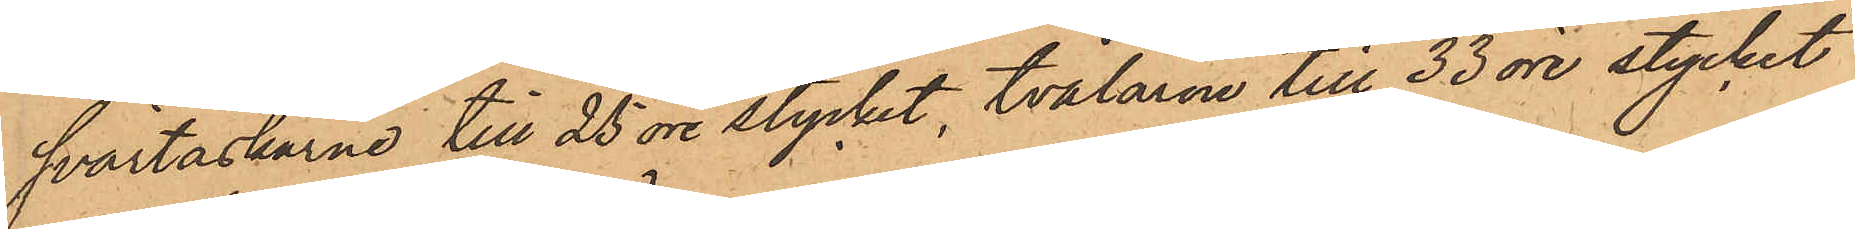svärtaskarne till 25 öre stycket, tvålarne till 33 öre stycket
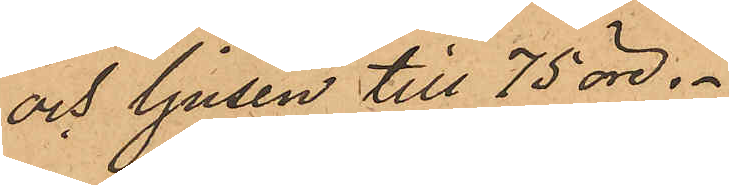och ljusen till 75 öre.
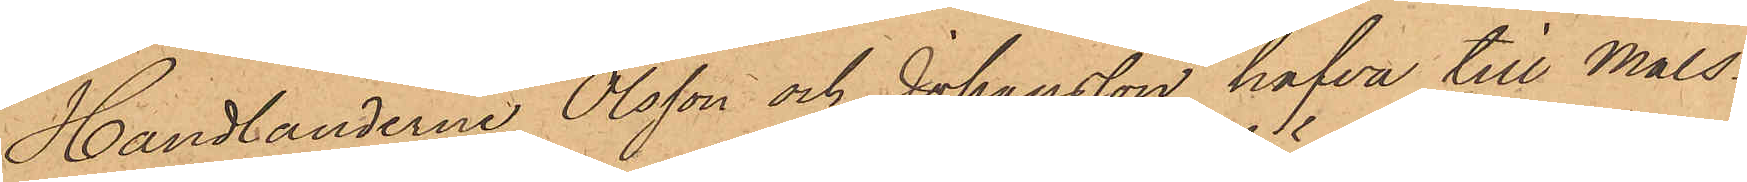Handlanderna Olsson och Johansson hafva till måls¬
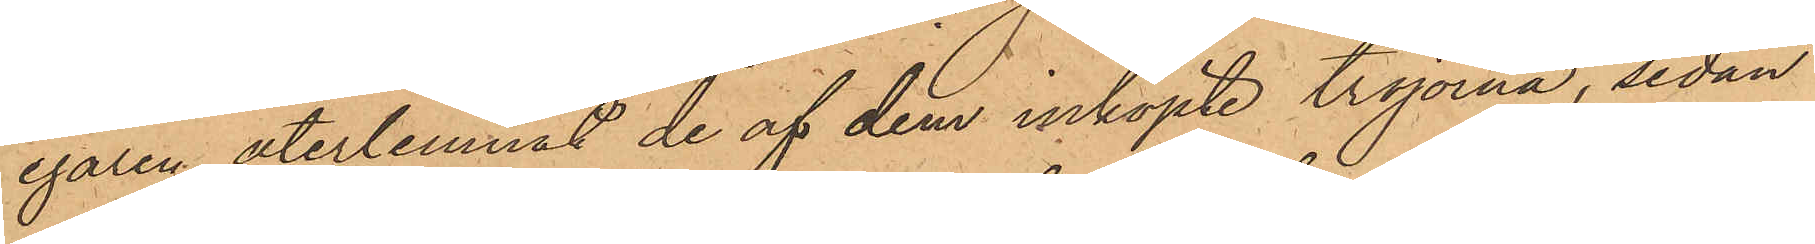egaren återlemnat de af dem inköpte tröjorna, sedan
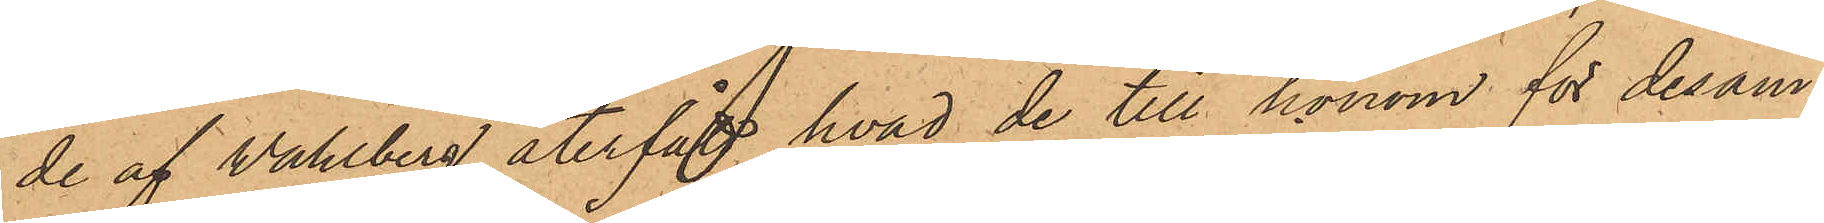de af Wahlberg återfått hvad de till honom för desam¬
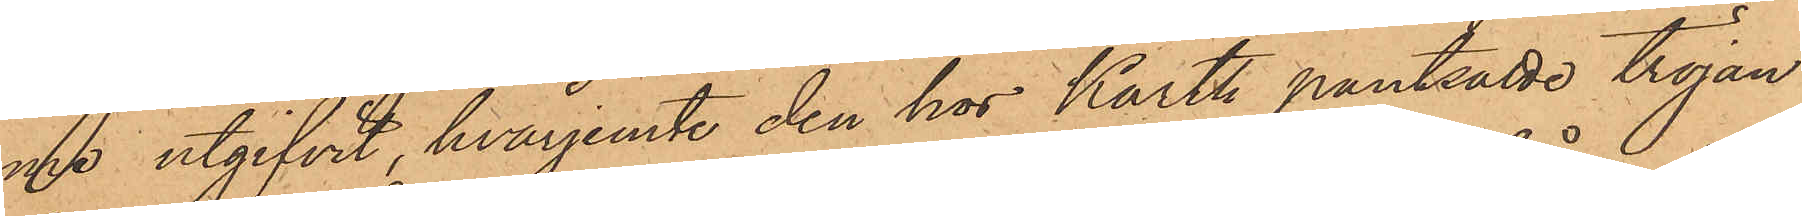me utgifvit, hvarjemte den hos Karth pantsatte tröjan
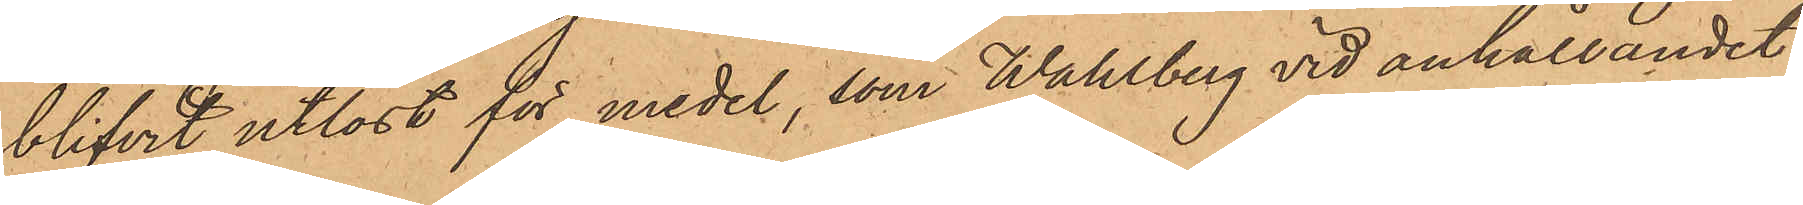blifvit utlöst för medel, som Wahlberg vid anhållandet
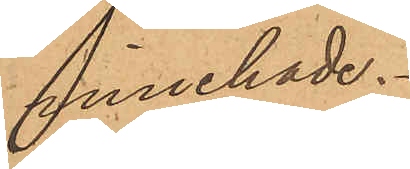innehade.
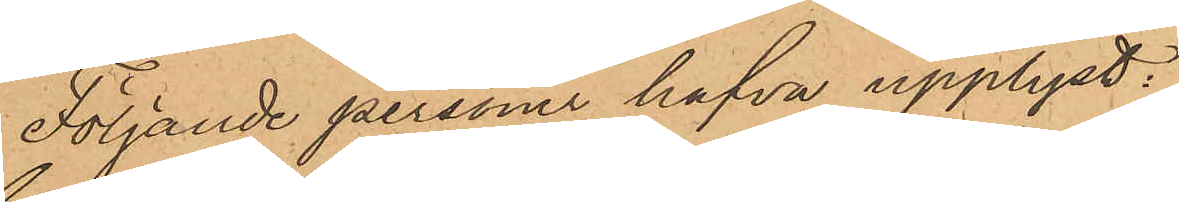Följande personer hafva upplyst:
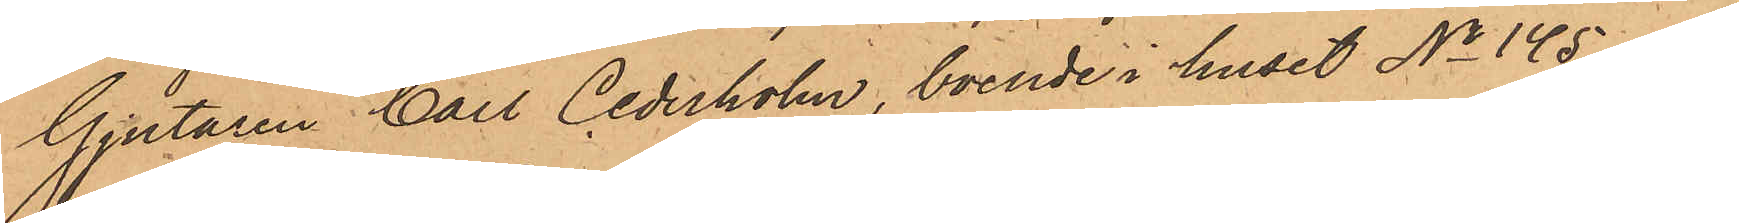Gjutaren Carl Cederholm, boende i huset No 145 af
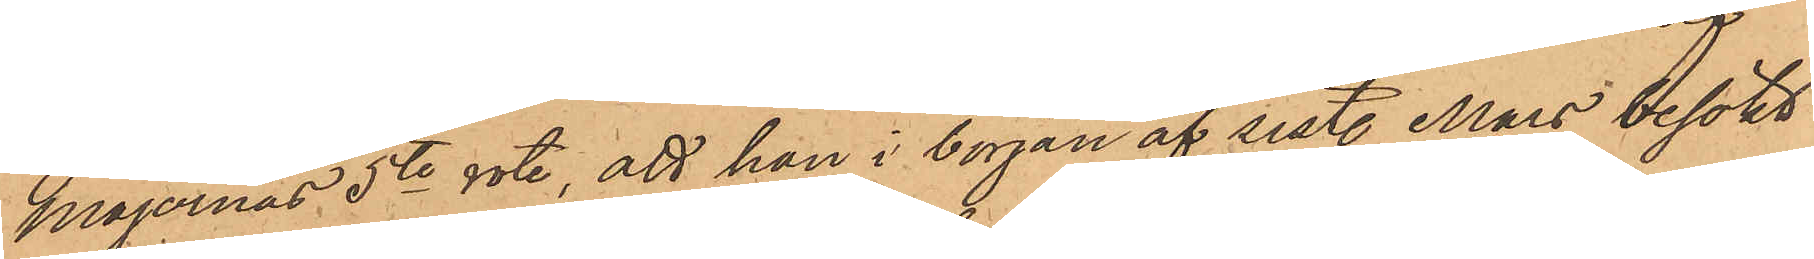Majornas 5te rote, att han i början af sist. Mars besökt
